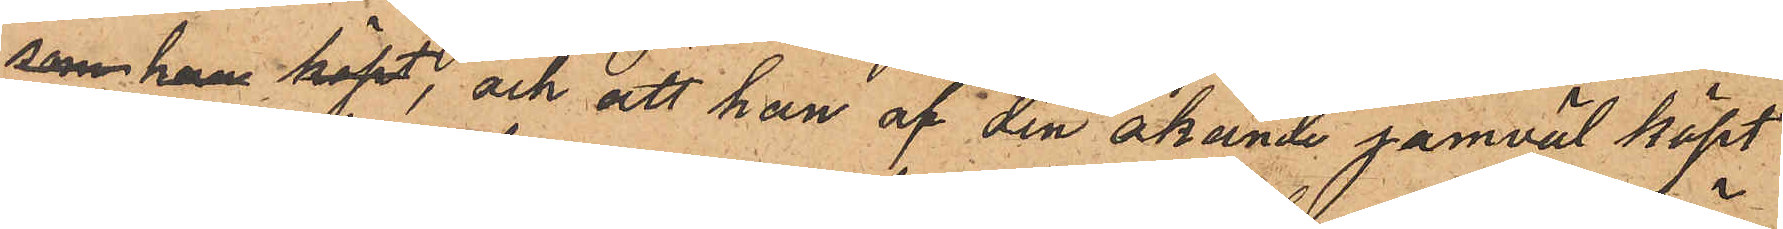som han köpt, och att han af den okände jämväl köpt
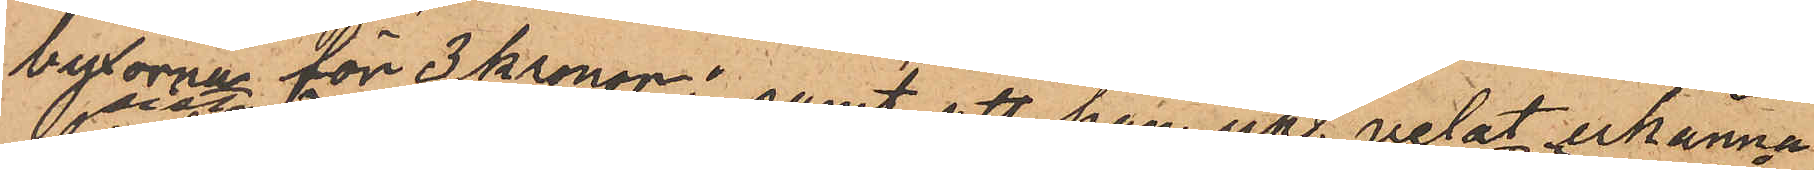byxorna för 3 kronor; samt att han icke velat erkänna
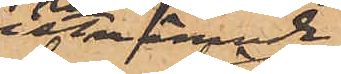sistnämnde
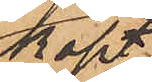köpt
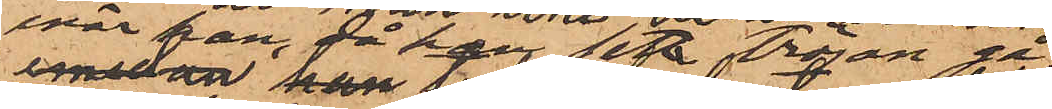enär han, då han haft tröjan på
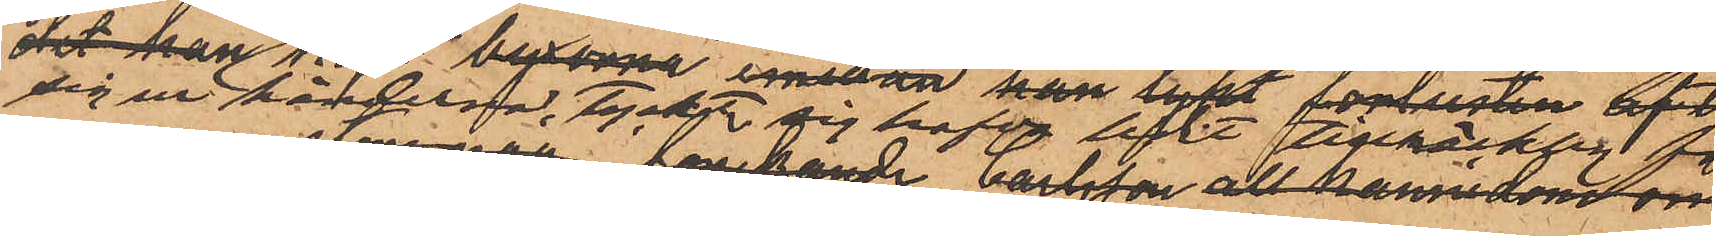sig vid händelsen, tyckte sig hafva lidit tillräckligt för¬
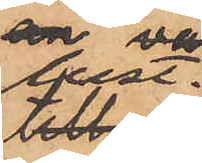lust.
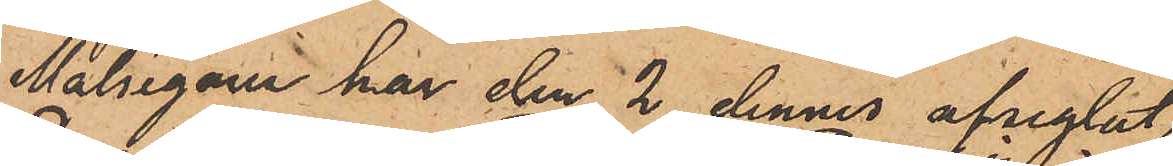Målsegaren har den 2 dennes afseglat
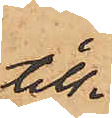till
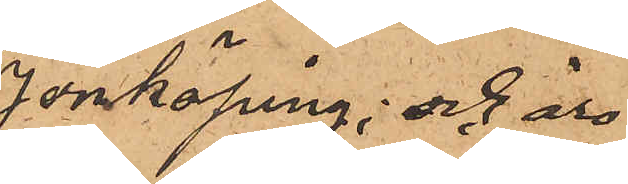Jönköping; och äro
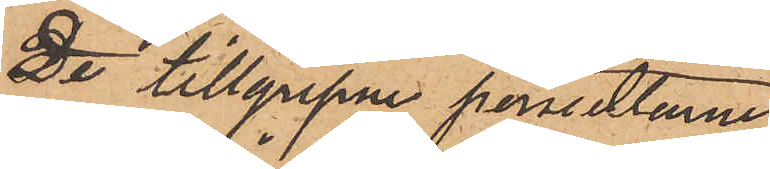de tillgripne persedlarne
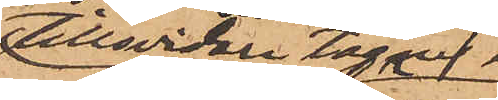tillsvidare tagne i
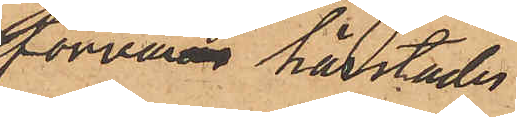förvar härstädes.
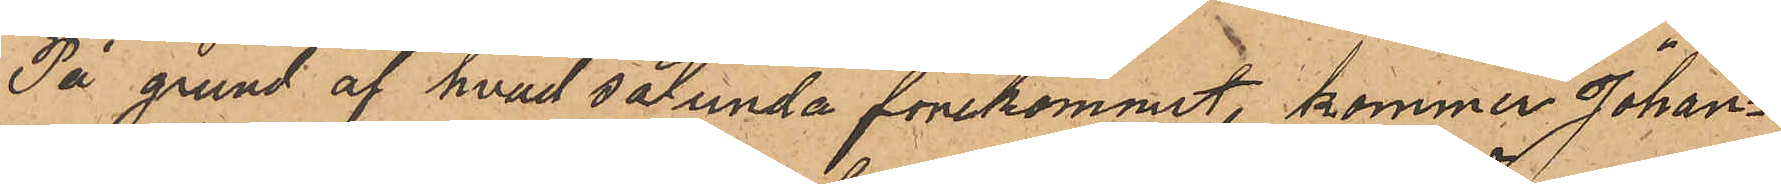På grund af hvad sålunda förekommit, kommer Johan¬
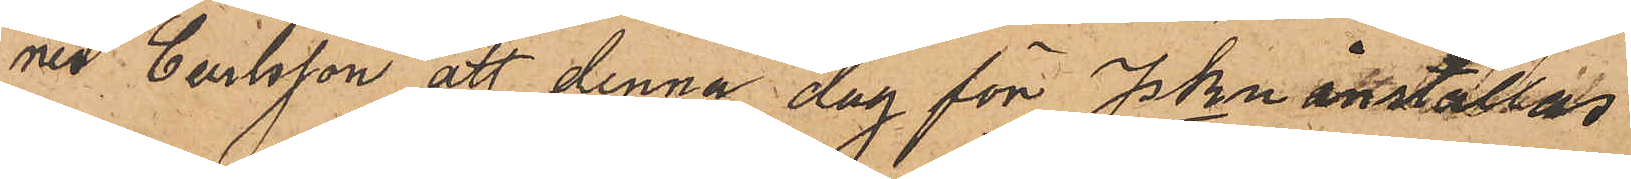nes Carlsson att denna dag för PKn inställas
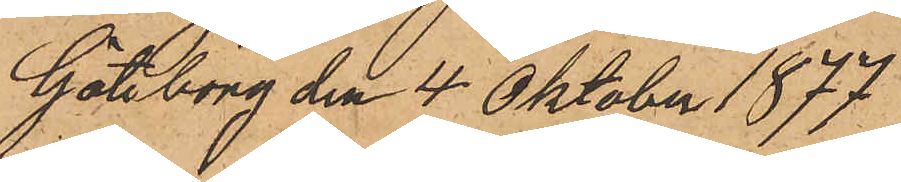Göteborg den 4 Oktober 1877
